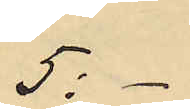5:-
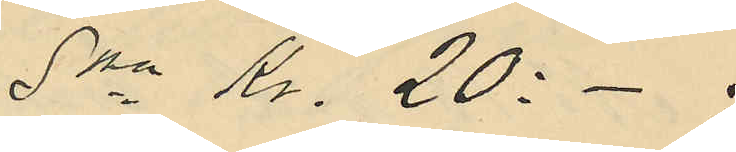Sma Kr. 20: - ;
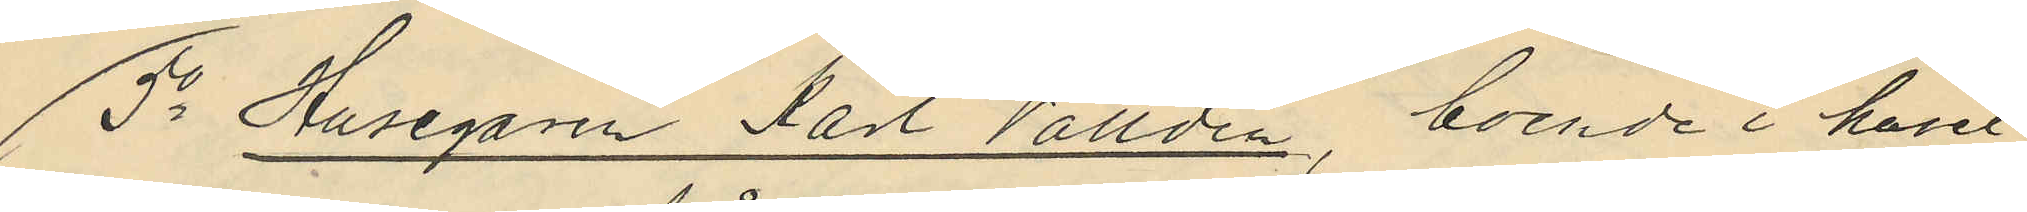5o Husegaren Karl Valldén, boende i huset
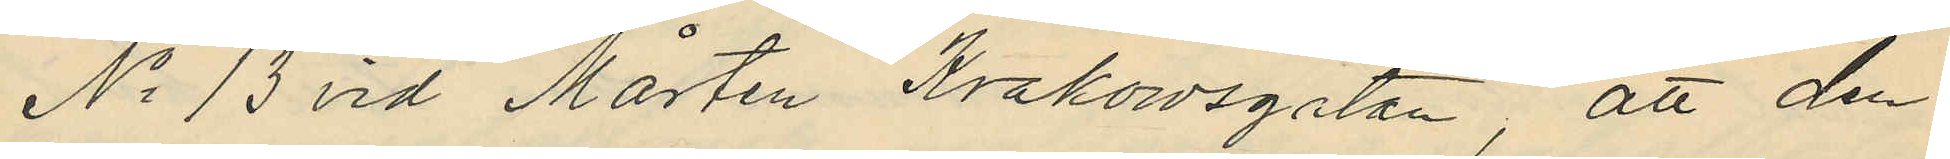No 13 vid Mårten Krakowsgatan, att den
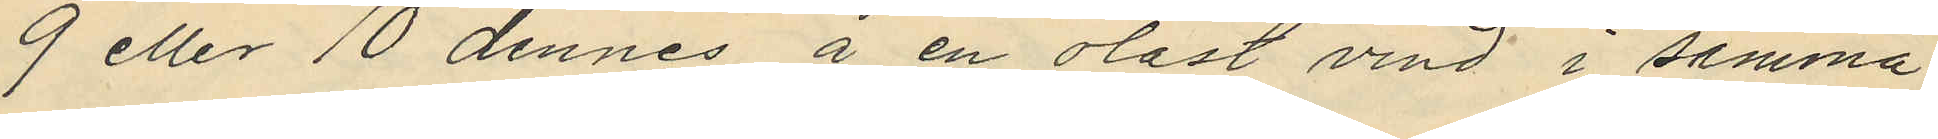9 eller 10 dennes å en olåst vind i samma
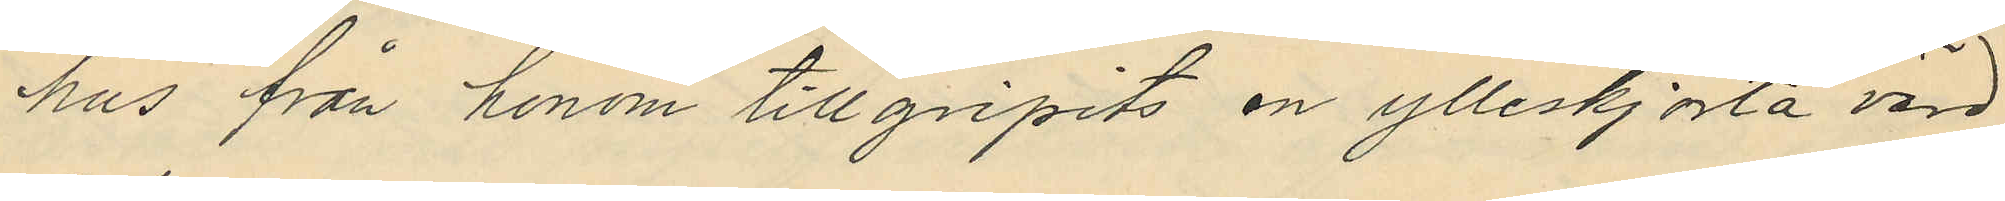hus från honom tillgripits en ylleskjorta värd
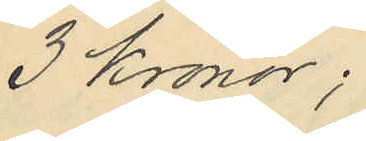3 Kronor;
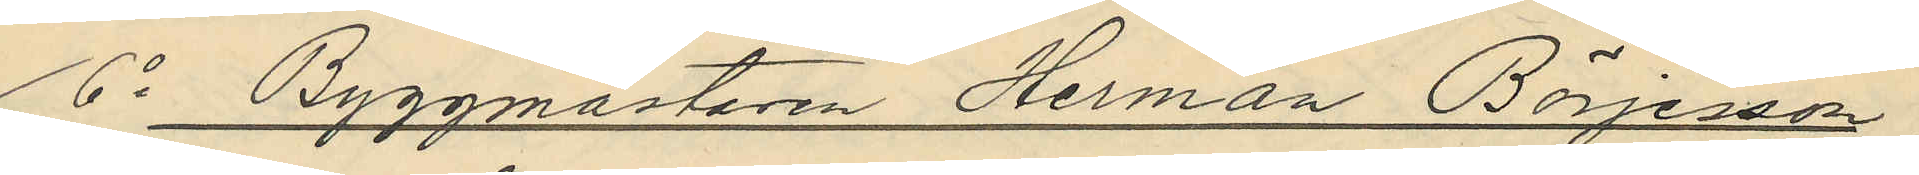6o Byggmästaren Herman Börjesson
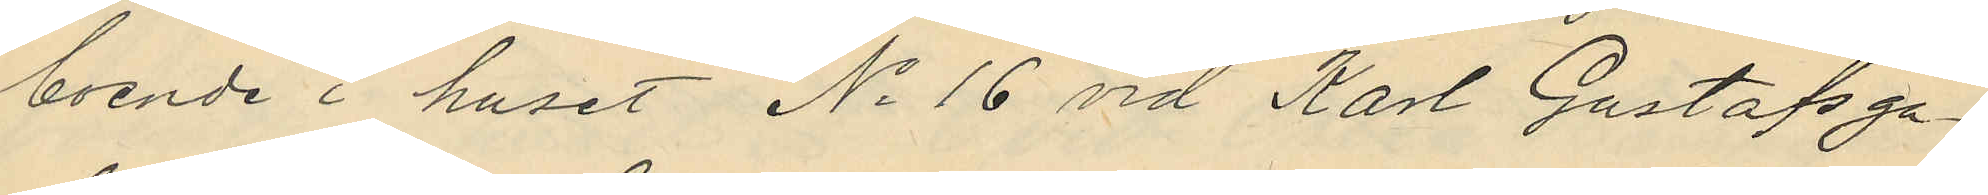boende i huset No 16 vid Karl Gustafsga¬
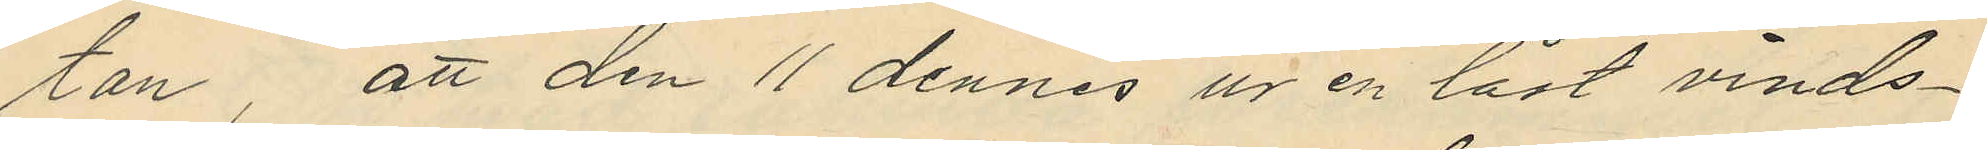tan, att den 11 dennes ur en låst vinds¬
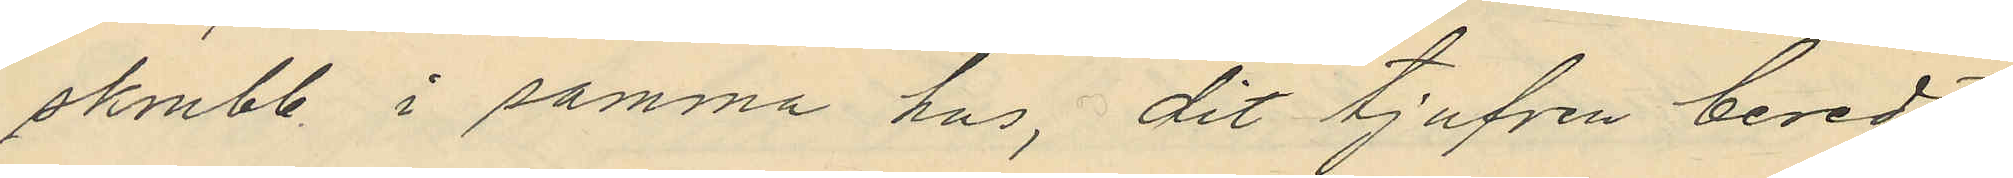skrubb. i samma hus, dit tjufven beredt
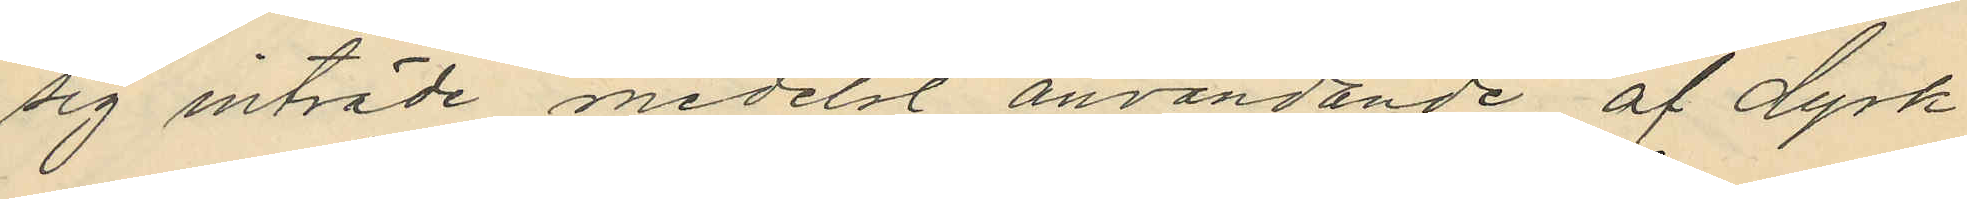sig inträde medelst användande af dyrk
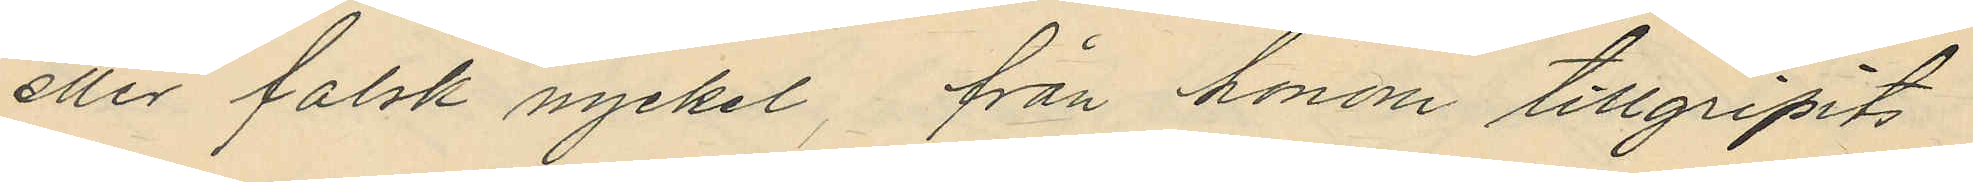eller falsk nyckel, från honom tillgripits
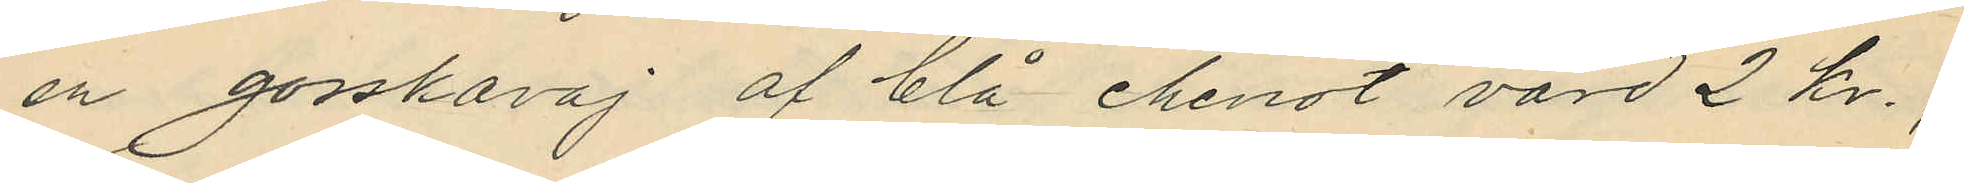en gosskavaj af blå cheviot värd 2 kr.;
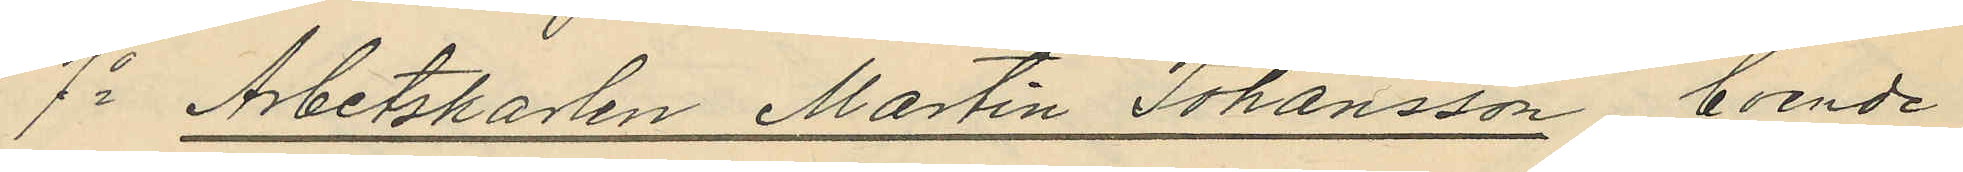7o Arbetskarlen Martin Johansson boende
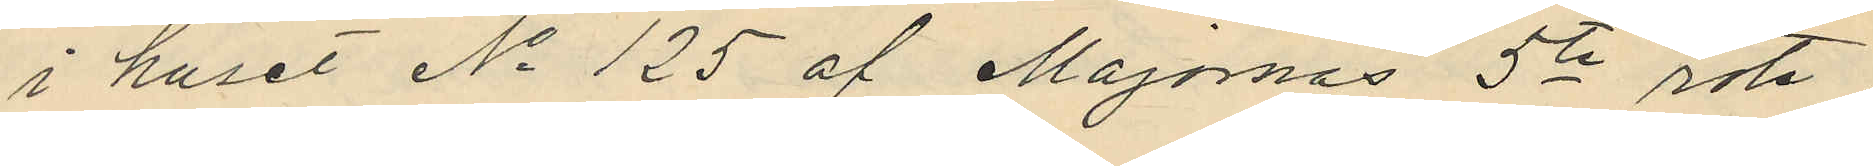i huset No 125 af Majornas 5te rote
